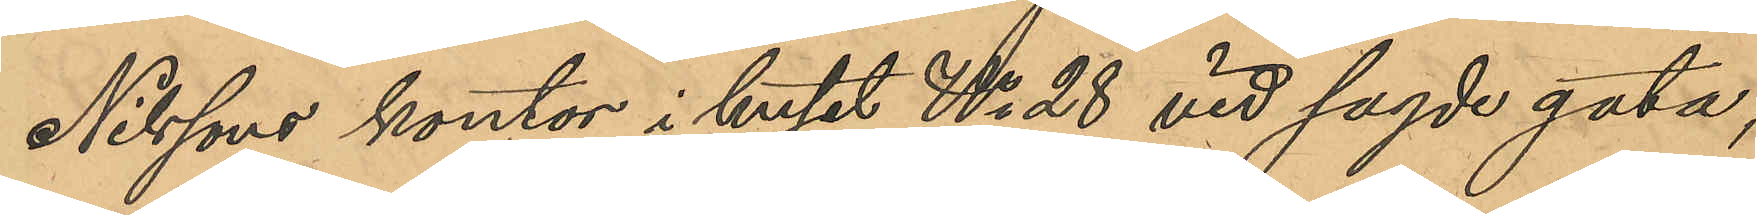Nilssons kontor i huset No 28 vid sagde gata,
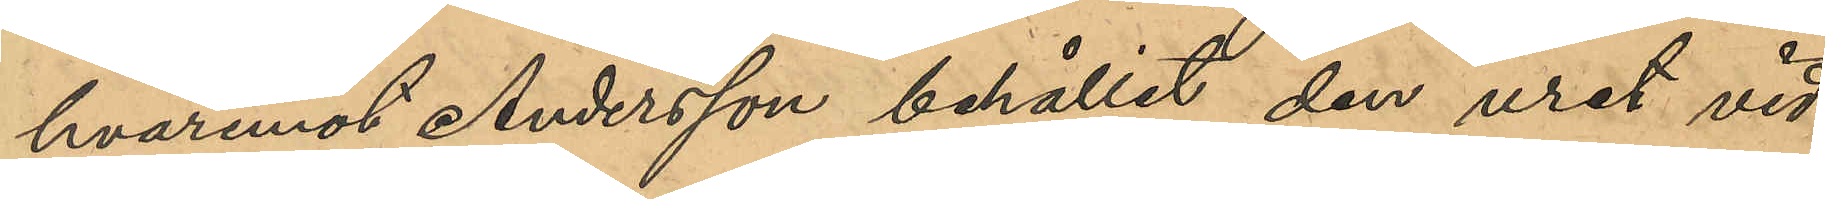hvaremot Andersson behållit den uret vid¬
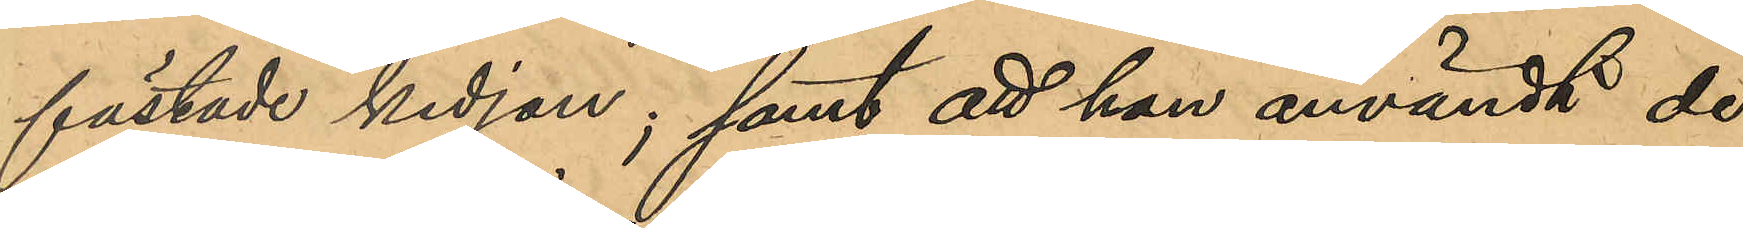fästade kedjan; samt att han användt de
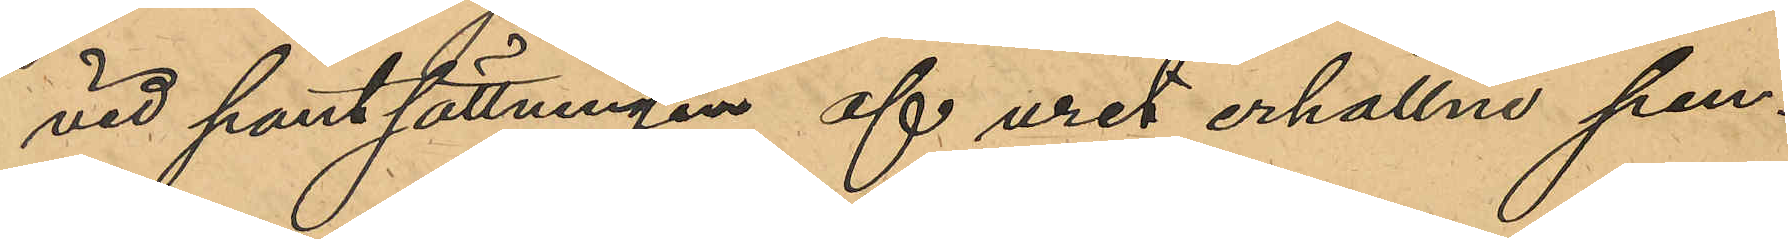vid pantsättningen af uret erhålle pen¬
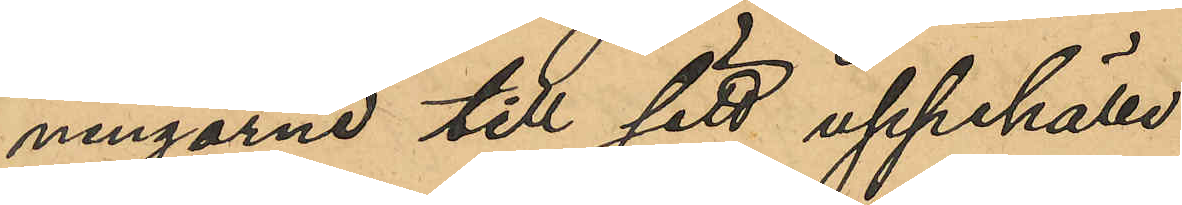ningarne till sitt uppehälle.
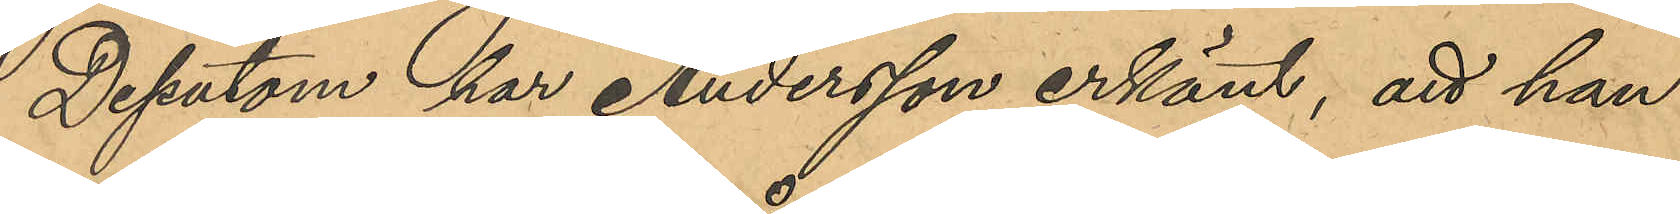Dessutom har Andersson erkänt, att han
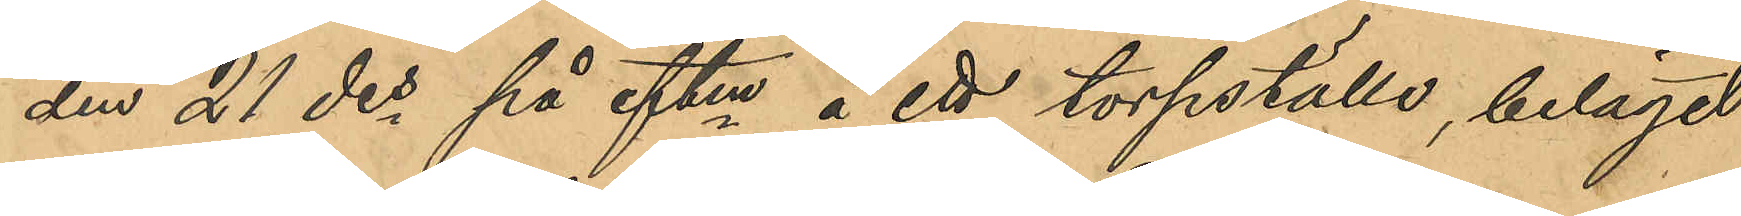den 21 des på eftm å ett torpställe, beläget
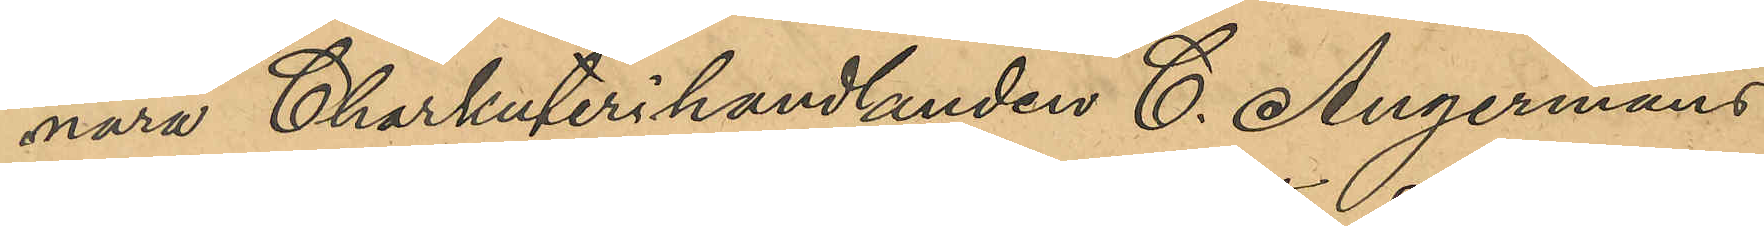nära Charkuterihandlanden C. Augermans
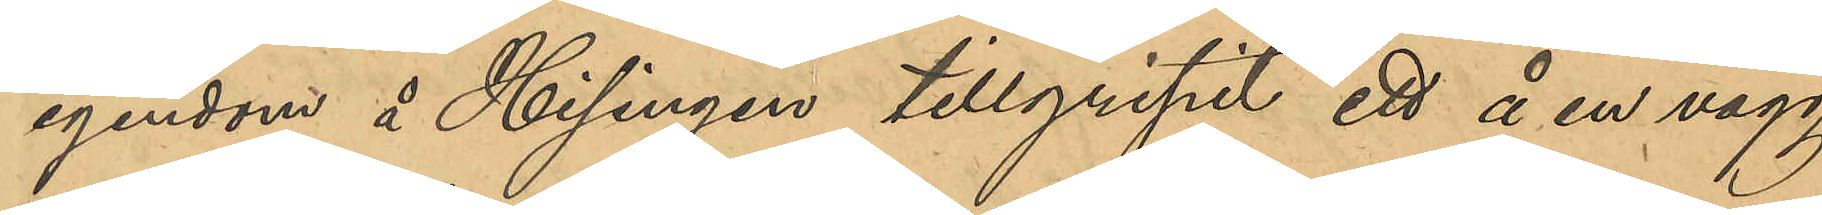egendom å Hisingen tillgripit ett å en vägg
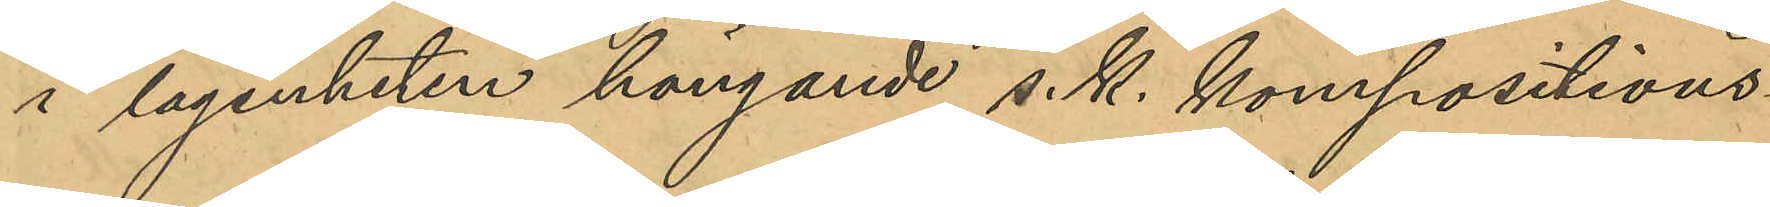i lägenheten hängande s. k. kompositions¬
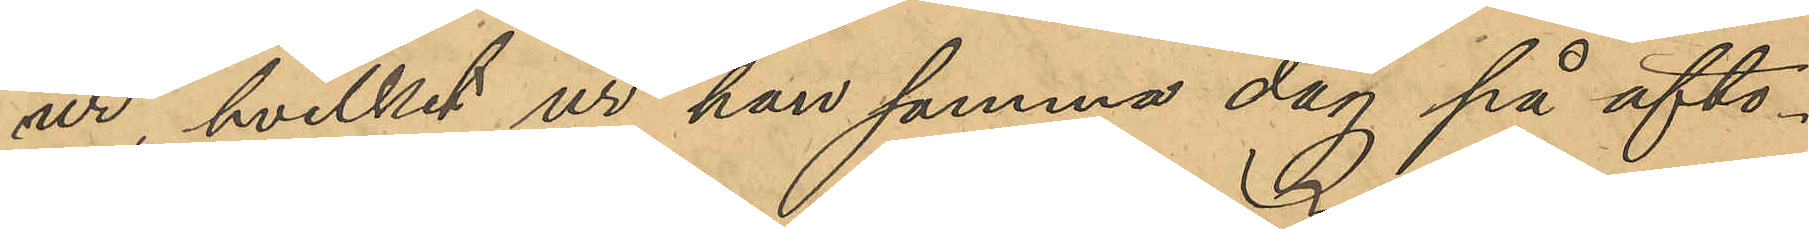ur, hvilket ur han samma dag på afto¬
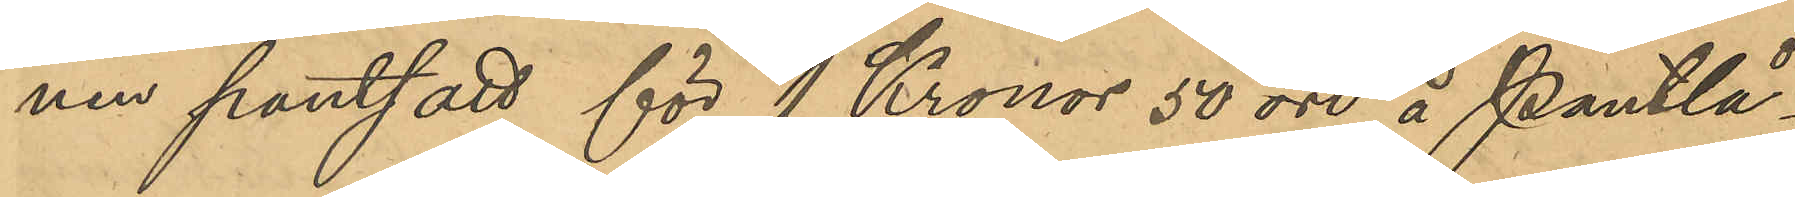nen pantsatt för 1 Kronor 50 öre å Pantlå¬
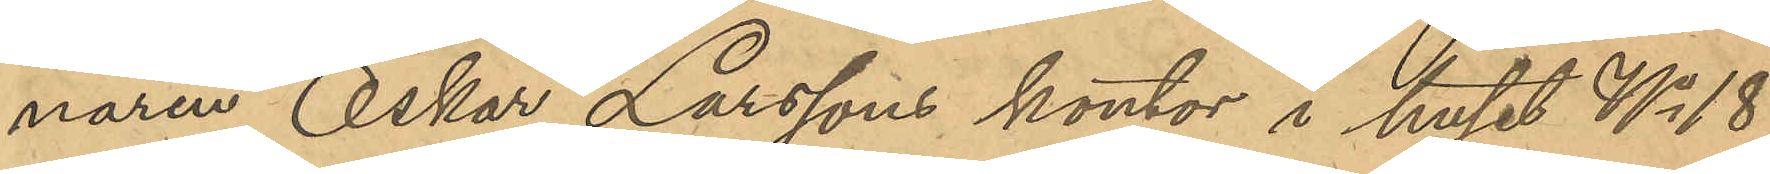naren Oskar Larssons kontor i huset No 18
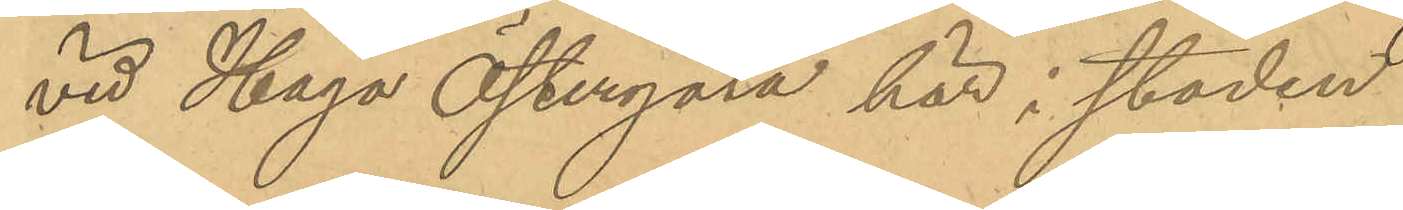vid Haga Östergata här i staden.
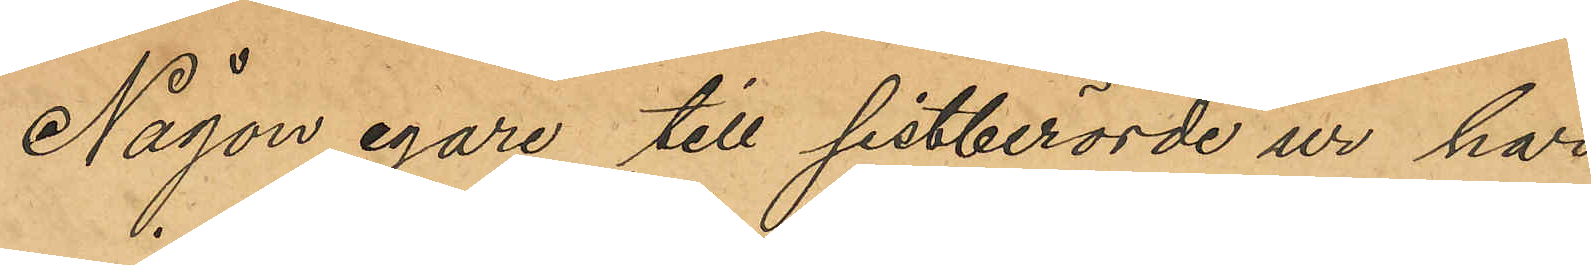Någon egare till sistberörde ur har
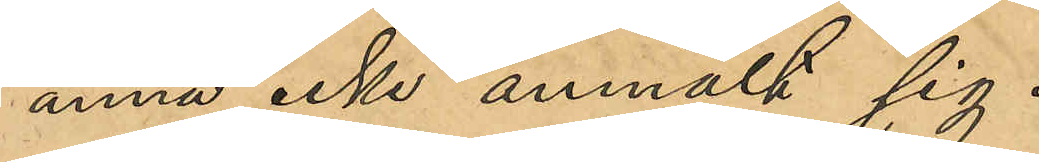ännu icke anmält sig.
